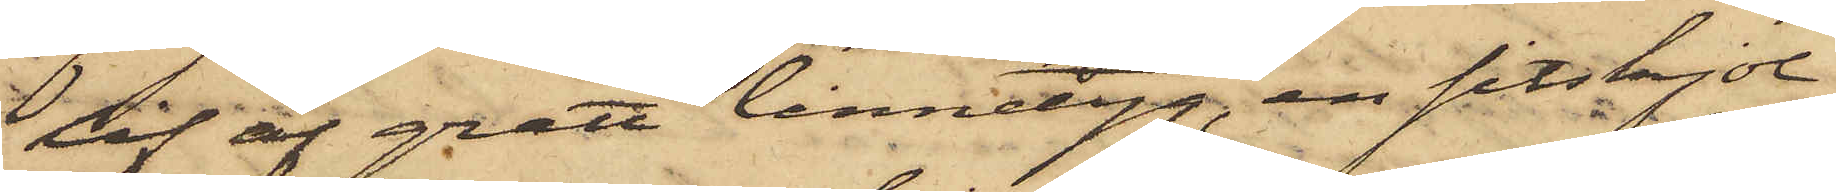lif af grått linnetyg, en sitskjol
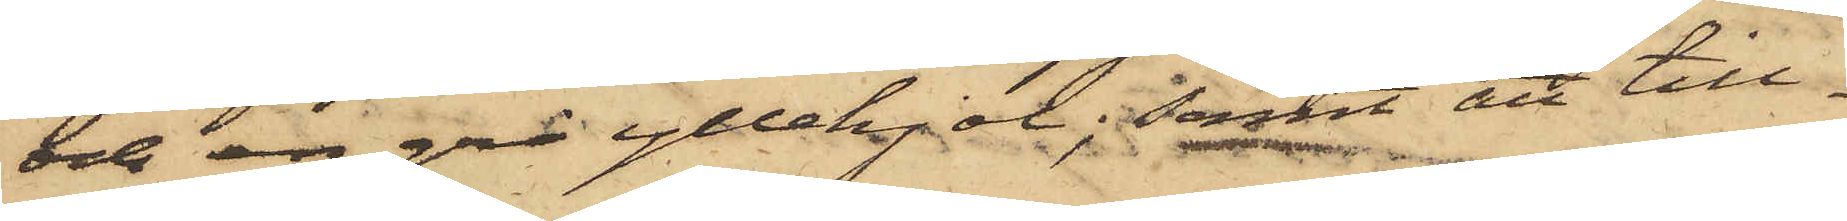och en grå yllekjol; samt att till¬
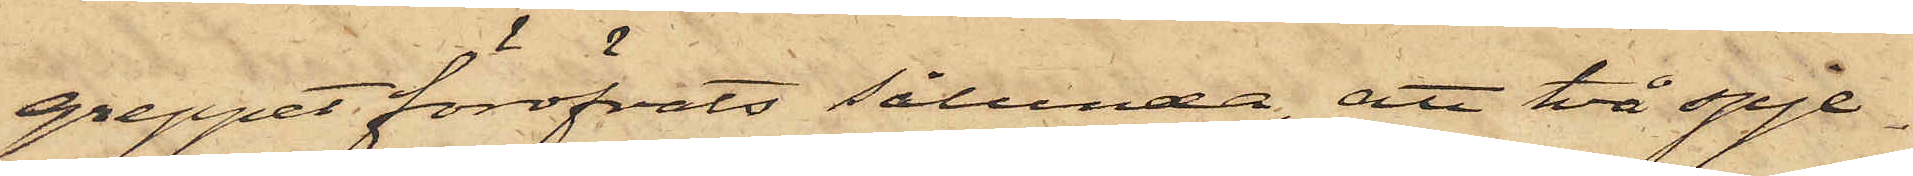greppet föröfvats sålunda, att två spje¬
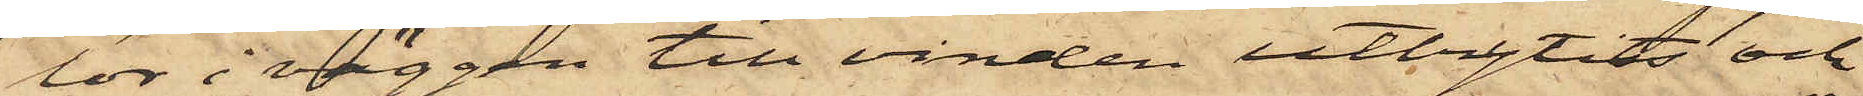lor i väggen till vinden utbrytits och
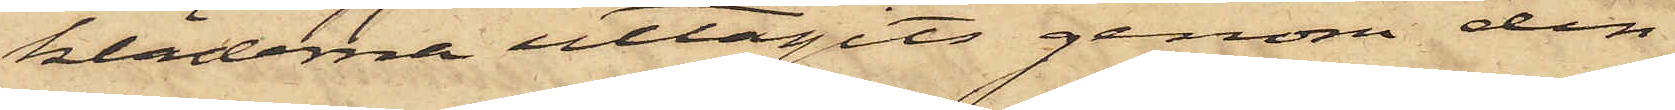kläderna uttagits genom den
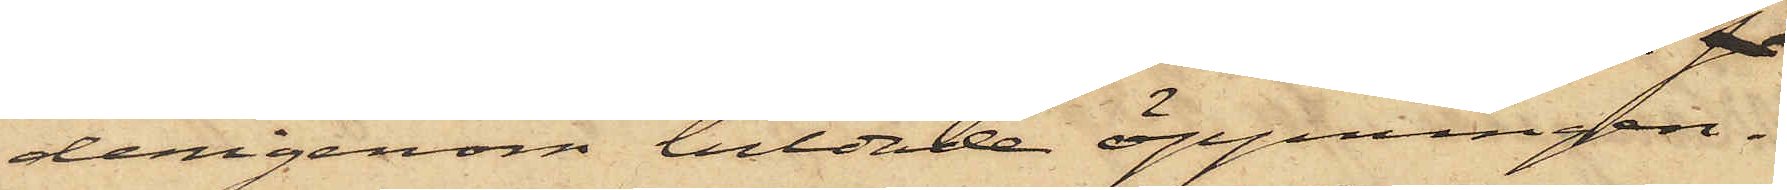derigenom bildade öppningen.
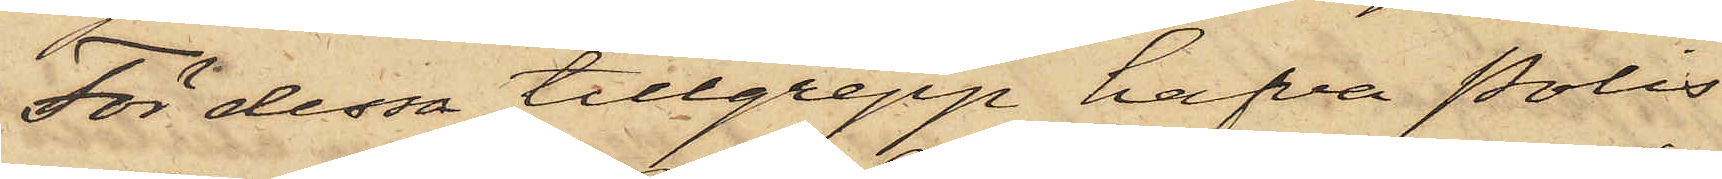För dessa tillgrepp hafva Polis¬
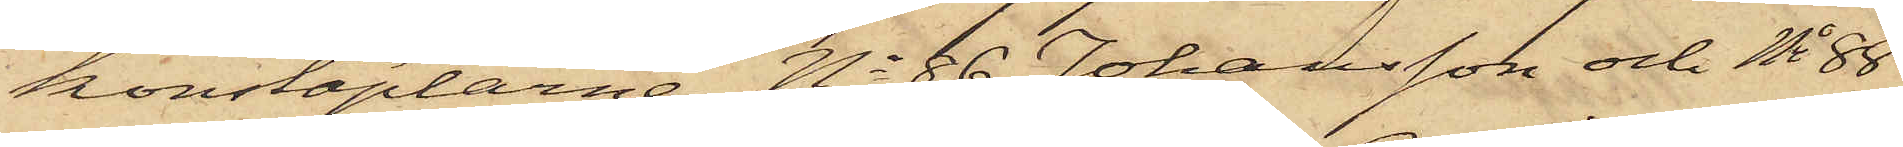konstaplarne No 86 Johansson och No 88
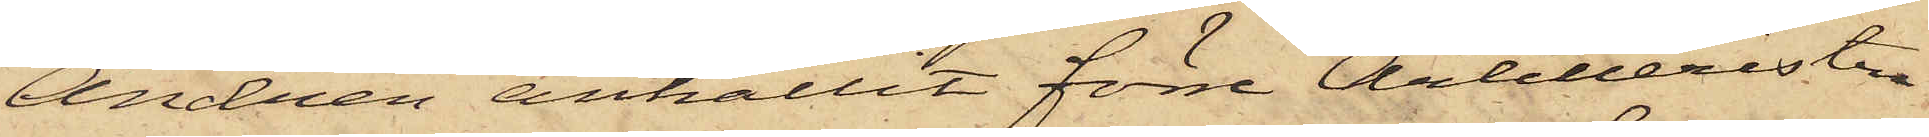Andrén anhållit förre Artilleristen
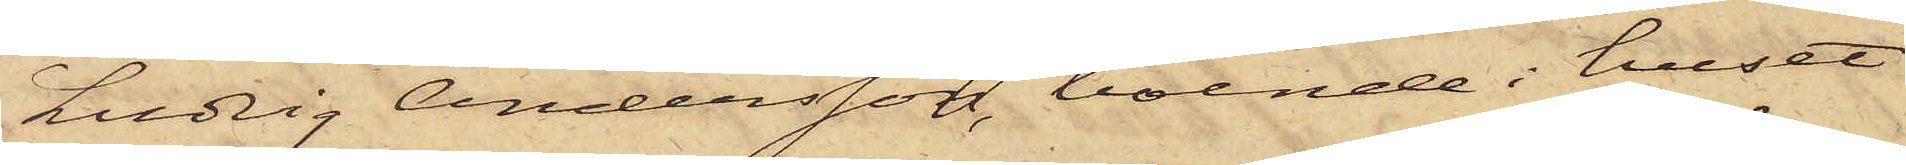Ludvig Andersson, boende i huset
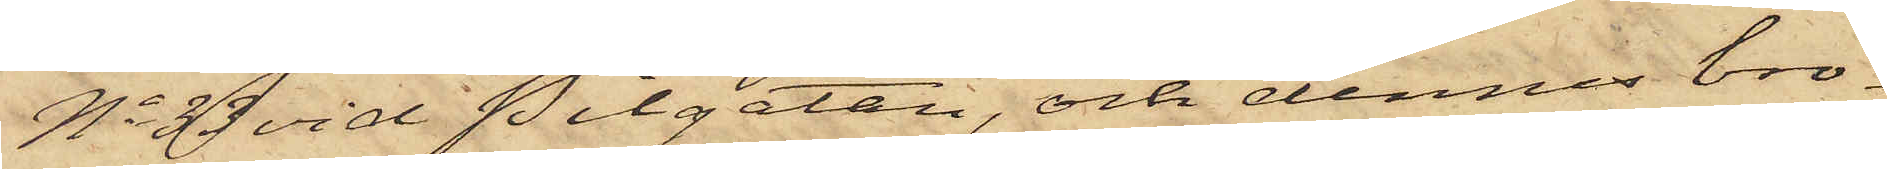No 33 vid Pilgatan, och dennes bro¬
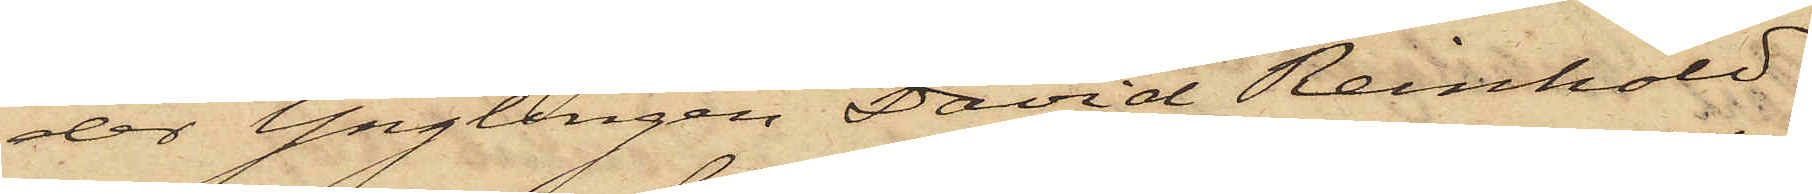der Ynglingen David Reinhold
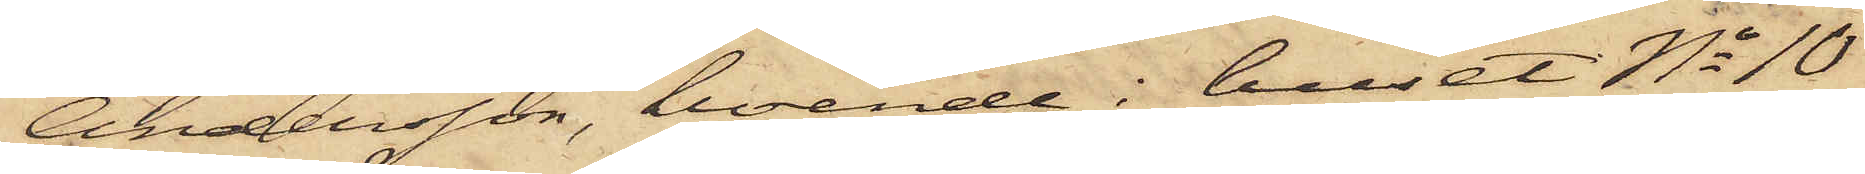Andersson, boende i huset No 10
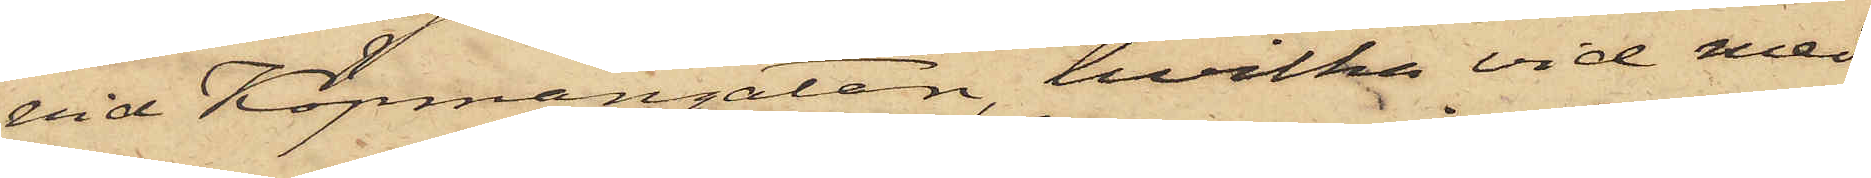vid Köpmangatan, hvilka vid med
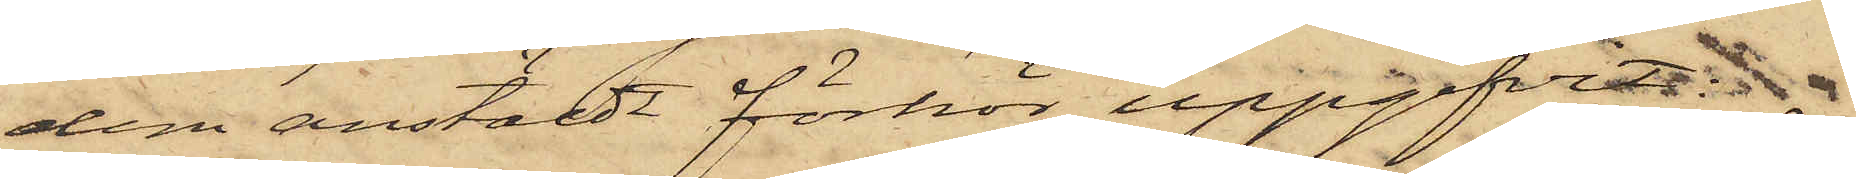dem anstäldt förhör uppgifvit:
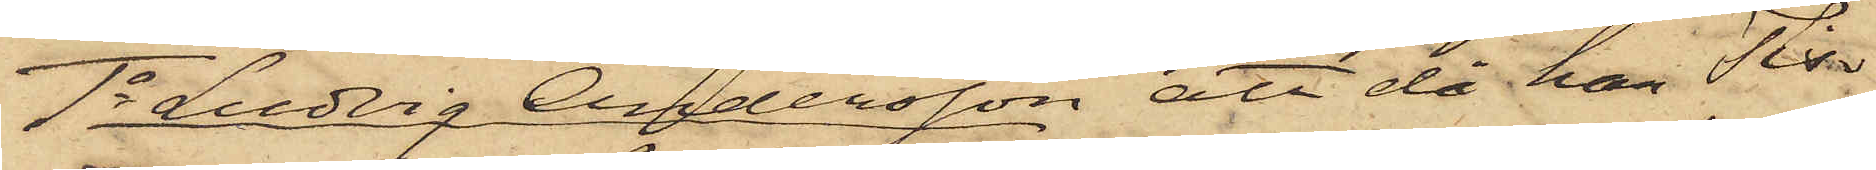1o Ludvig Andersson att då han Tis¬
